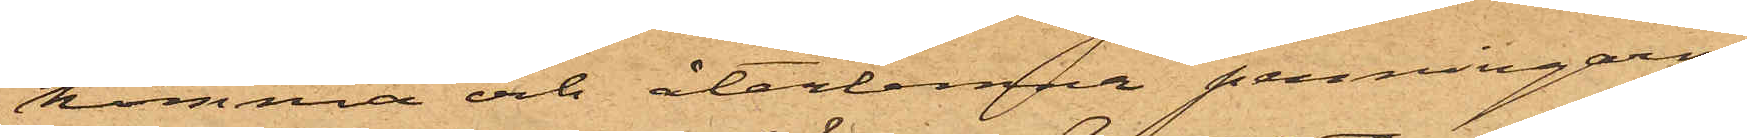komma och återlemna penningarne.
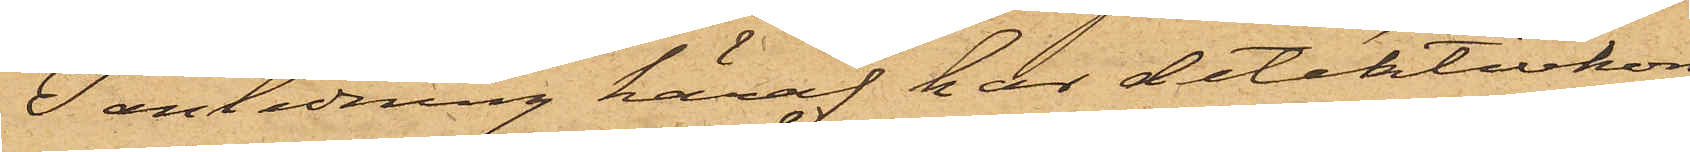I anledning häraf har detektivkon¬
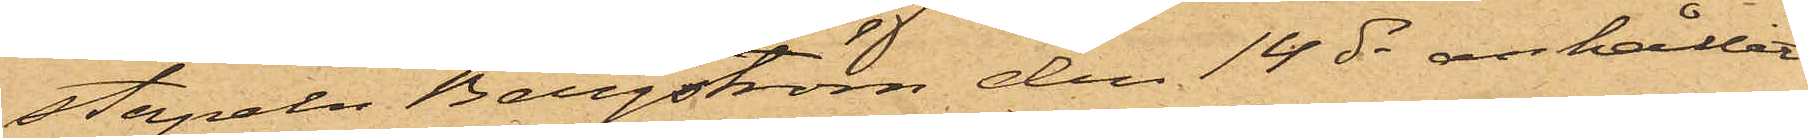stapeln Bergström den 14 ds anhållit
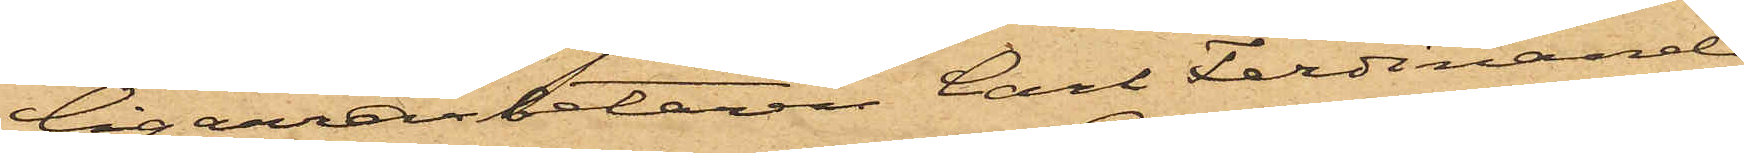Cigarrarbetaren Carl Ferdinand
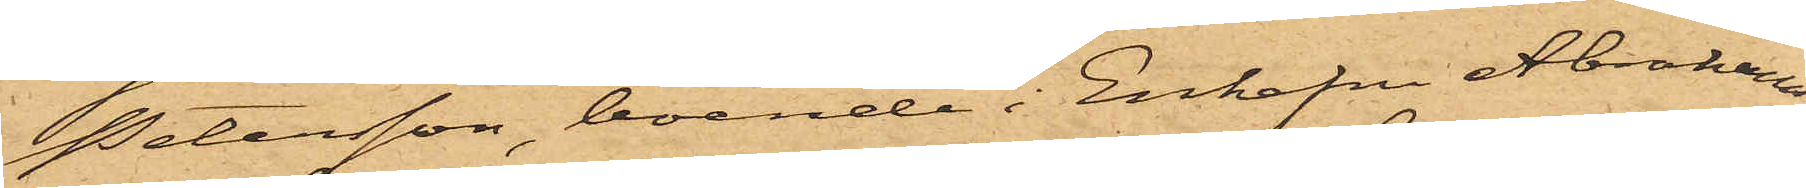Petersson, boende i Enkefru Abrahams¬
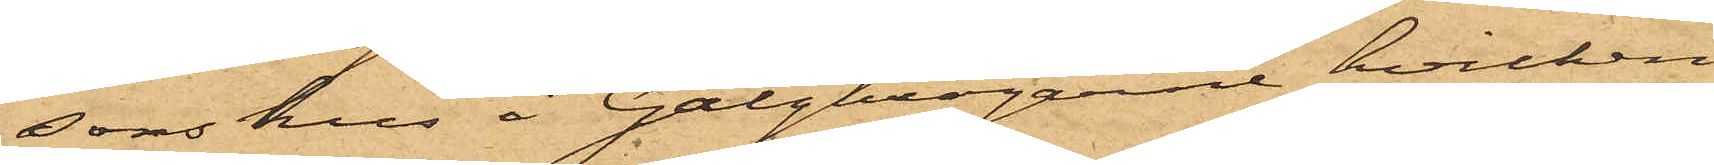sons hus å Galgkrogarne, hvilken
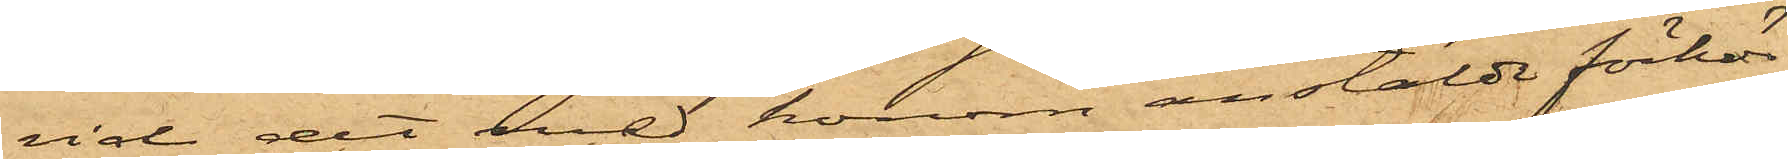vid det med honom anstälde förhör
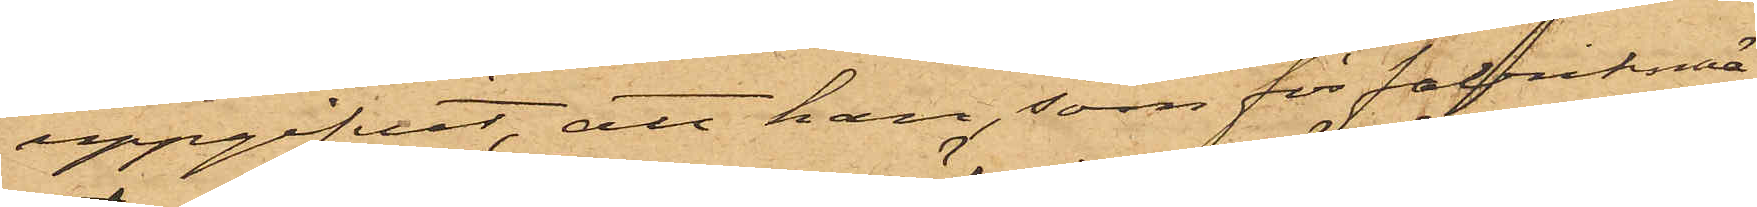uppgifvit, att han, som för fabriksmä¬
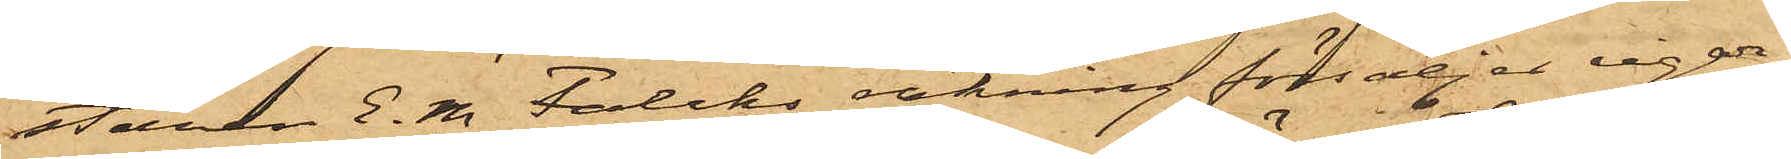staren E. M Falcks räkning försäljer cigar¬
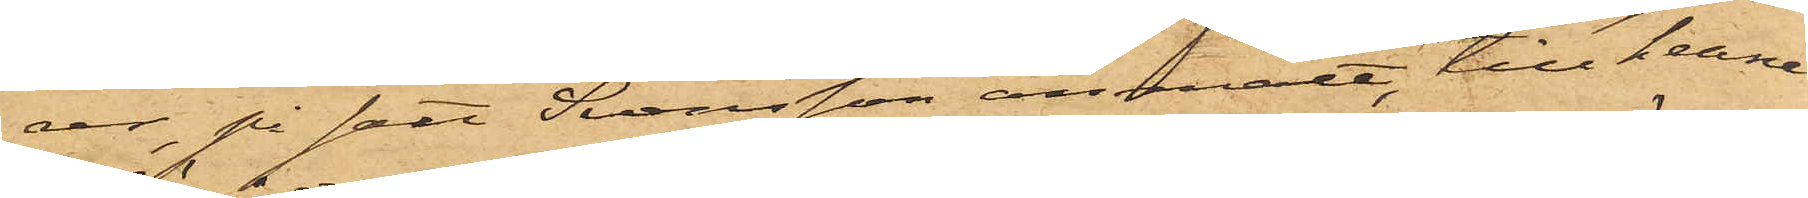rer, på sätt Svensson anmält, till henne
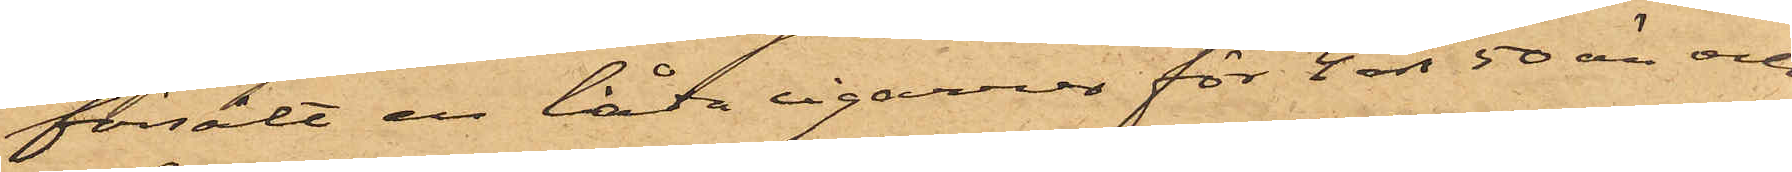försålt en låda cigarrer för 4 rdr 50 öre och
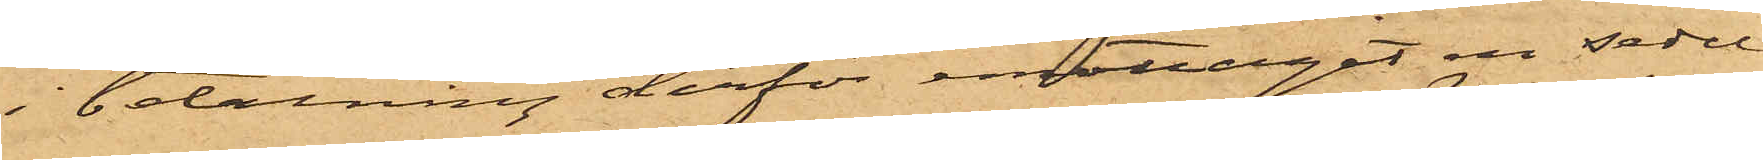i betalning derför emottagit en sedel
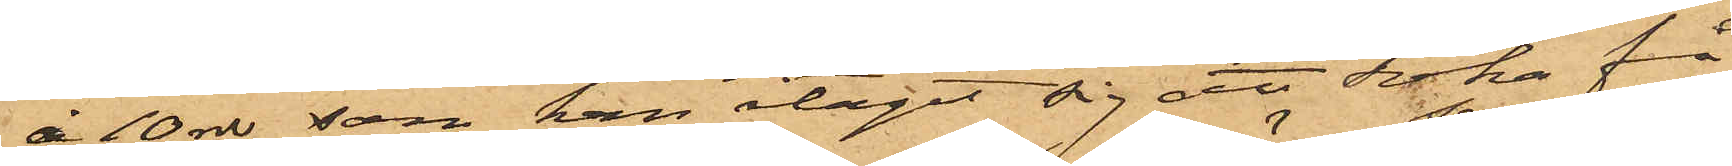å 10 rdr, som han åtagit sig att söka få
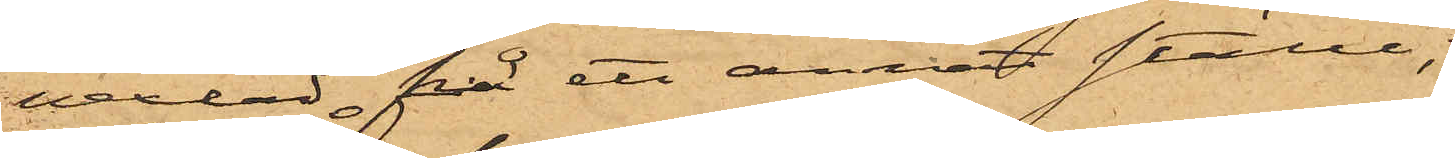vexlad på ett annat ställe;
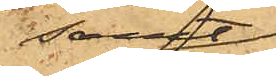samt
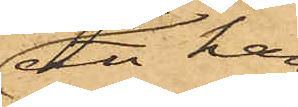att han
